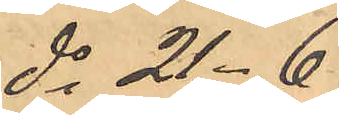do 21-6
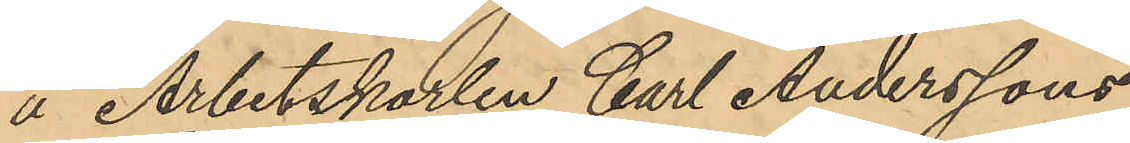å Arbetskarlen Carl Anderssons
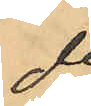do
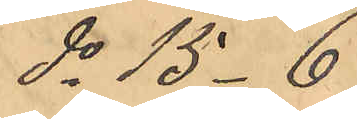do 15-6
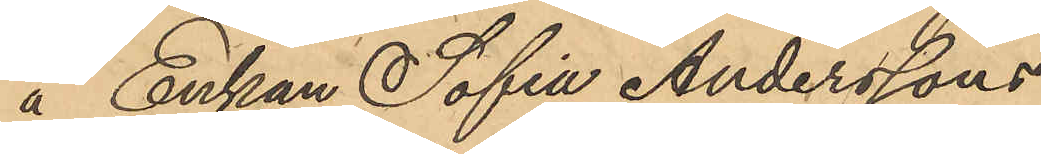å Enkan Sofia Anderssons
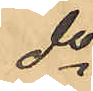do
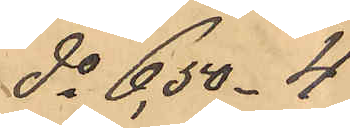do 6,50-4
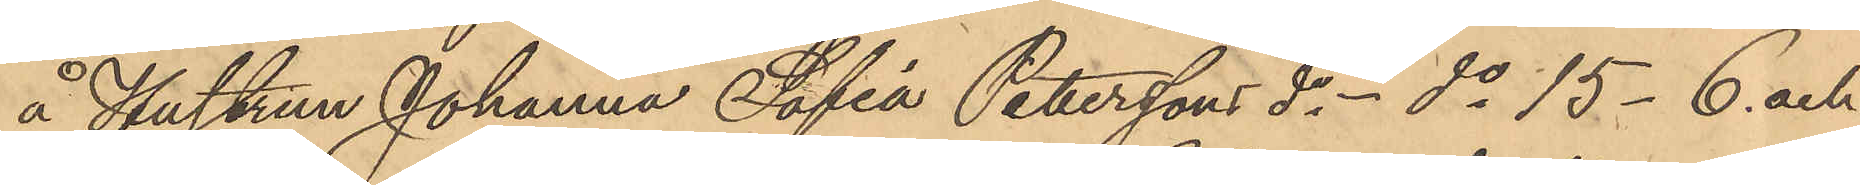å Hustrun Johanna Sofia Petterssons do - do 15-6. och
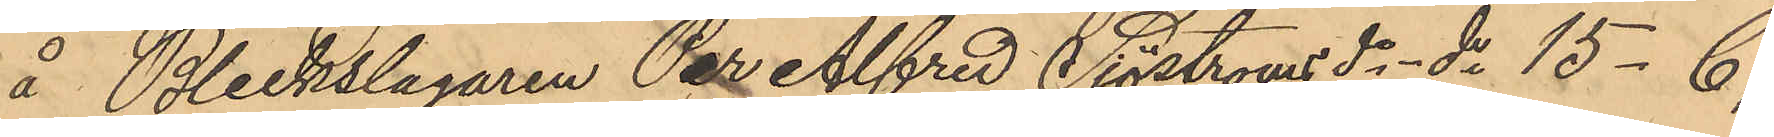å Bleckslagaren Per Alfred Sjöstroms do - do 15-6;
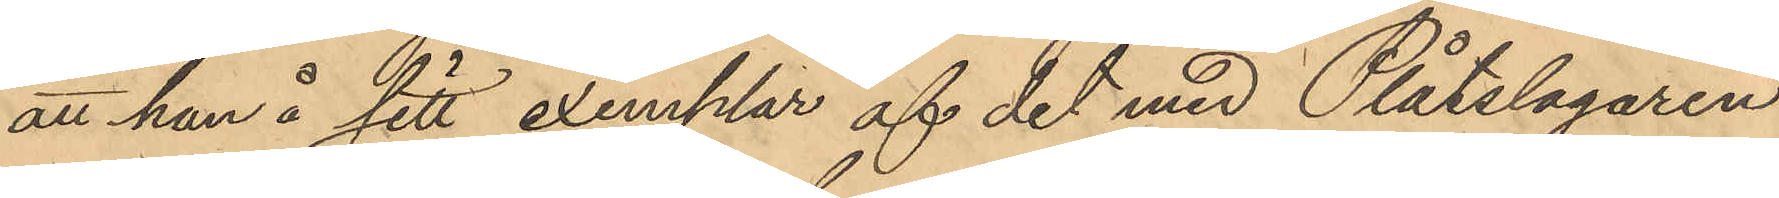att han å sitt exemplar af det med Plåtslagaren
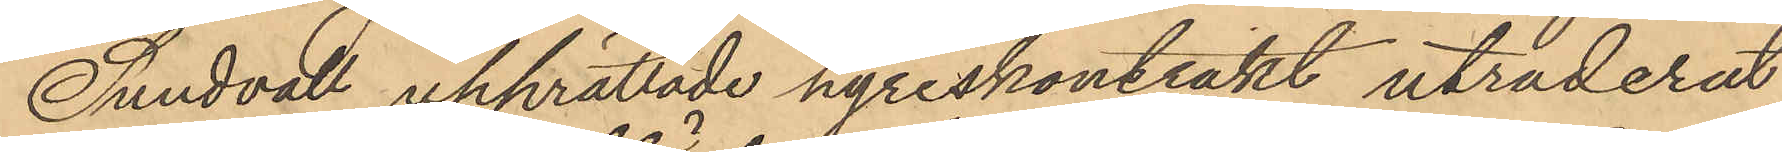Sundvall upprättade hyreskontrakt utraderat
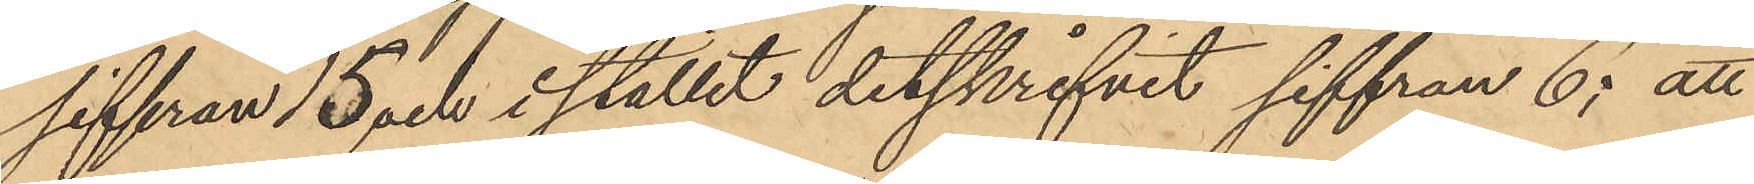siffran 15 och i stället ditskrifvit siffran 6; att
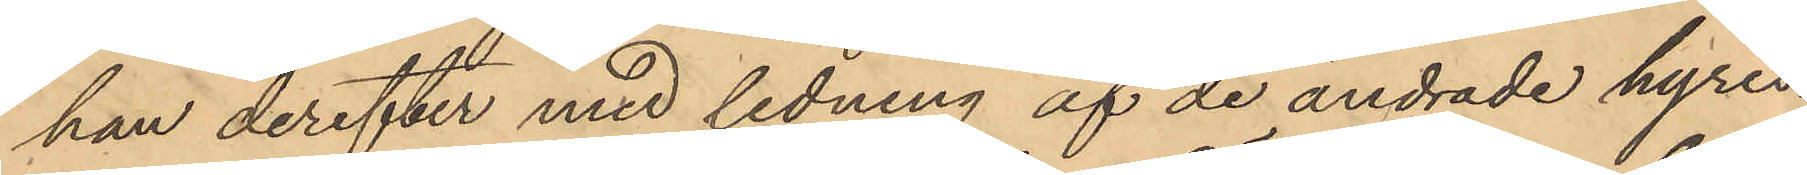han derefter med ledning af de ändrade hyres¬
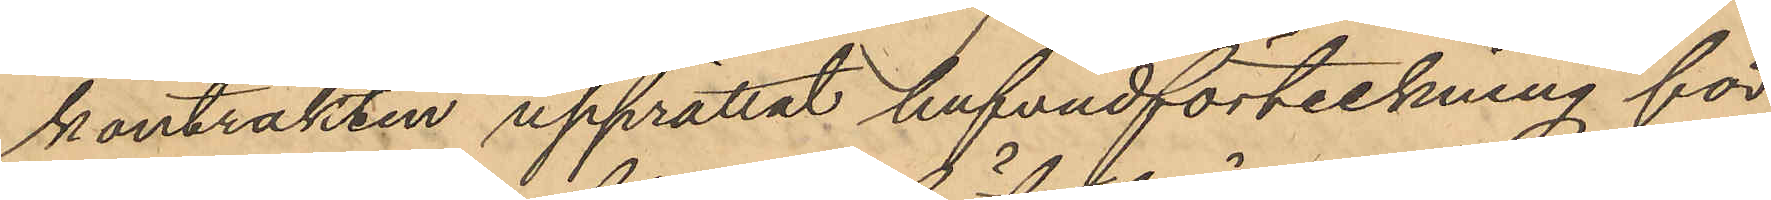kontrakten upprättat hufvudförteckning för
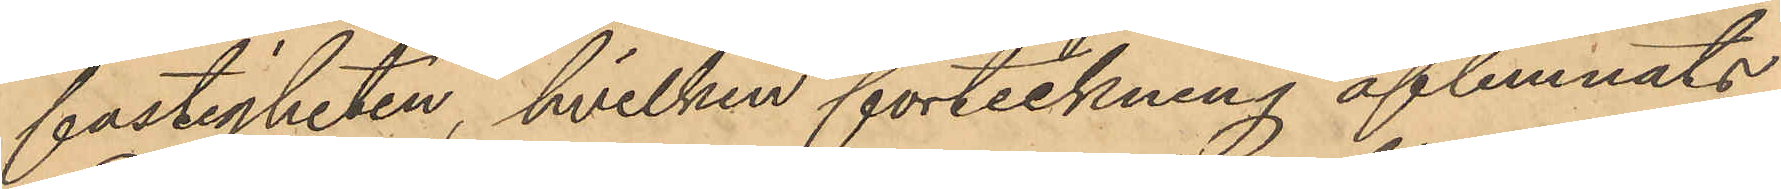fastigheten, hvilken förteckning aflemnats
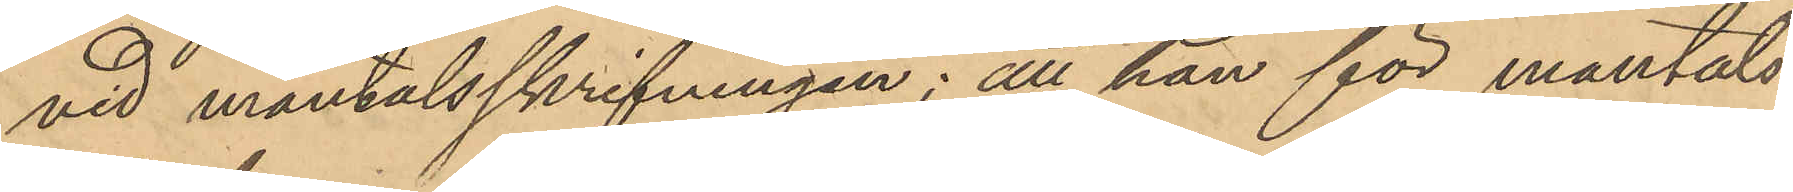vid mantalsskrifningen; att han för mantals¬
